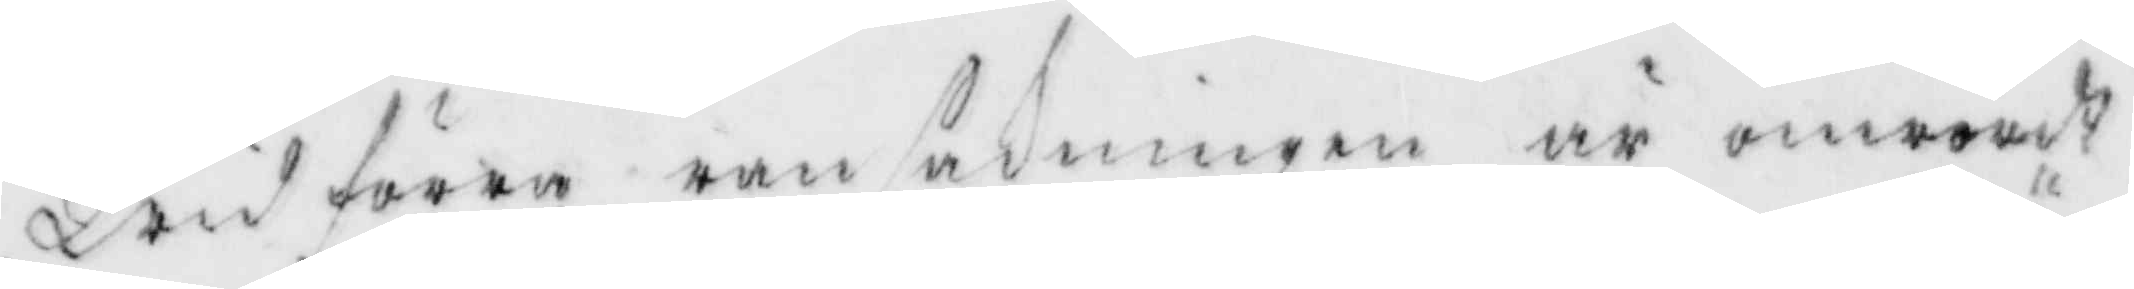Wid föreg ransakningen är omrördt
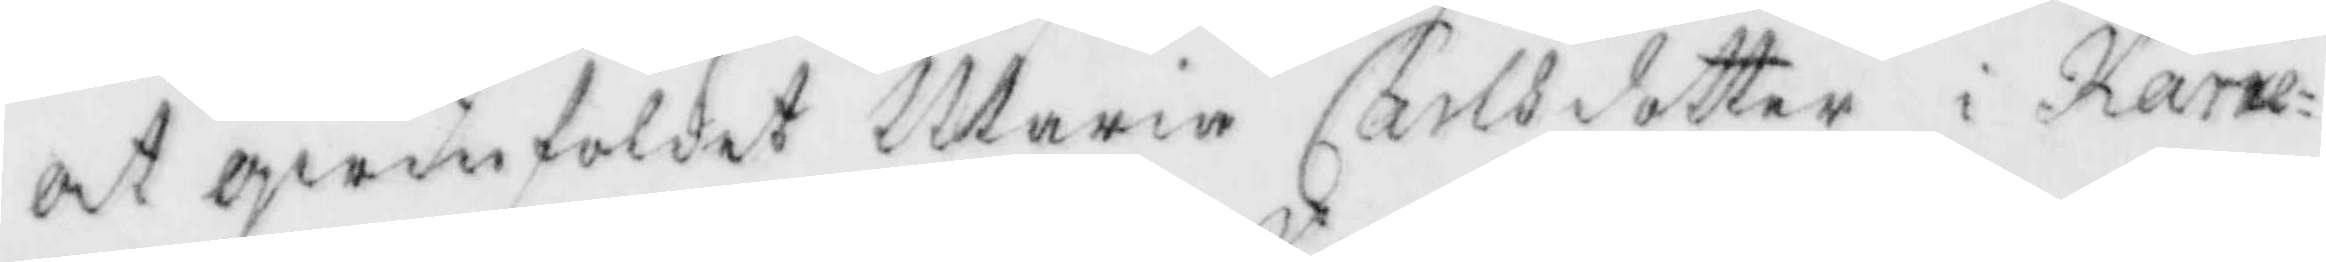at qwinfolken Maria Carlsdotter i Kärre¬
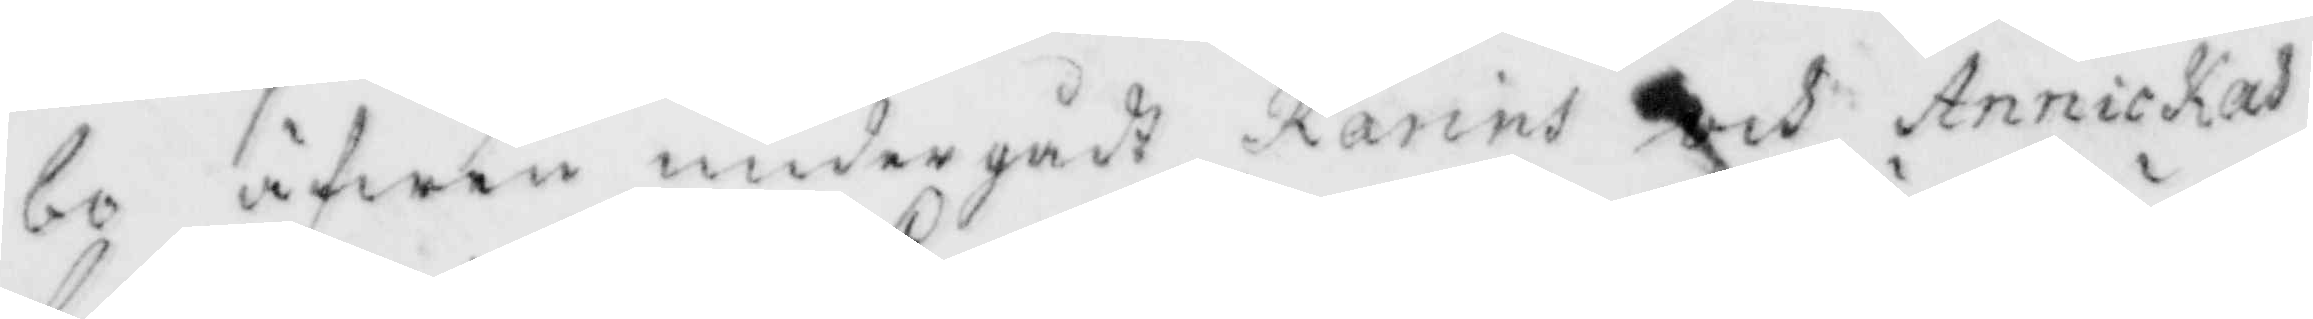bo äfwen undergådt Karins och Annickas
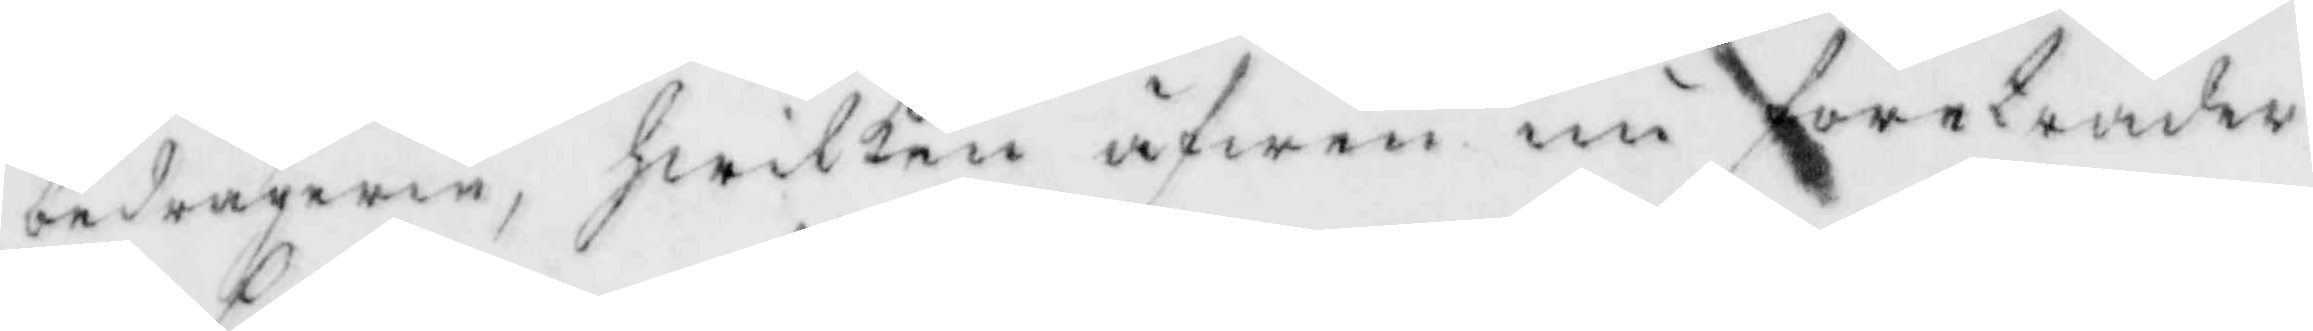bedrägeri, hwilken äfwen nu företräder
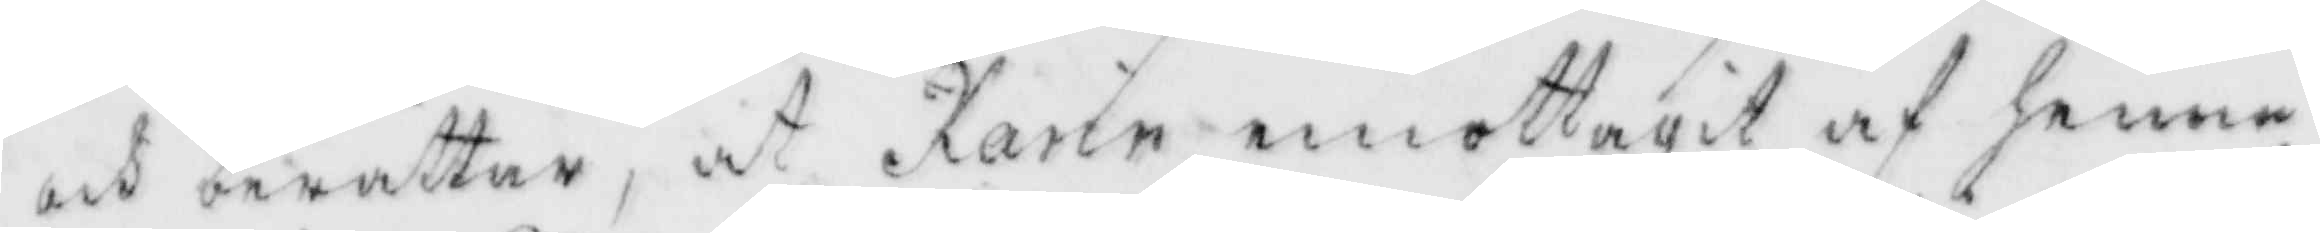och berättar, at Karin emottagit af henne
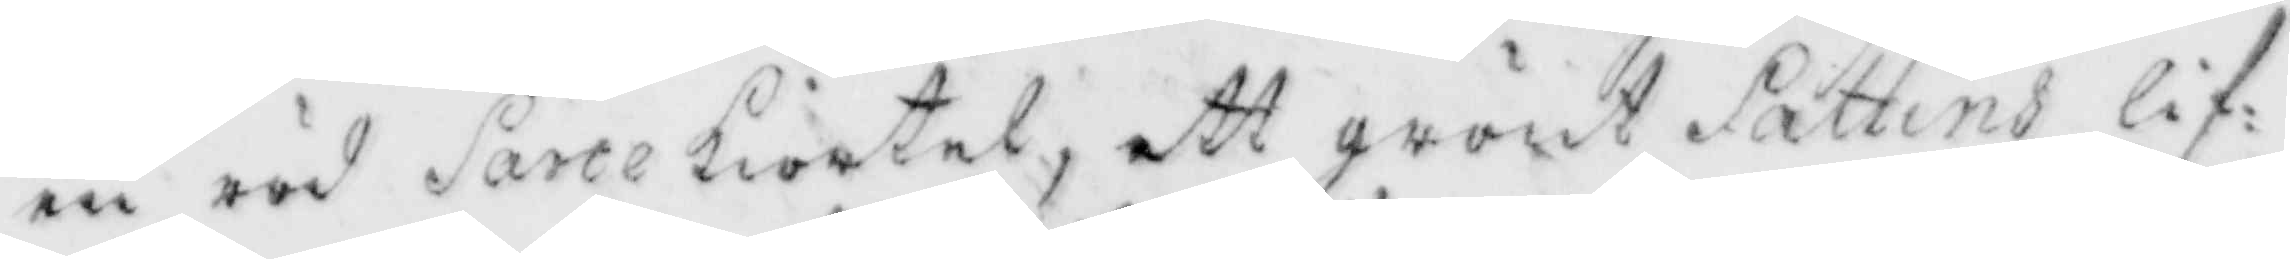en röd Sartekiortel, ett grönt Sattins lif¬
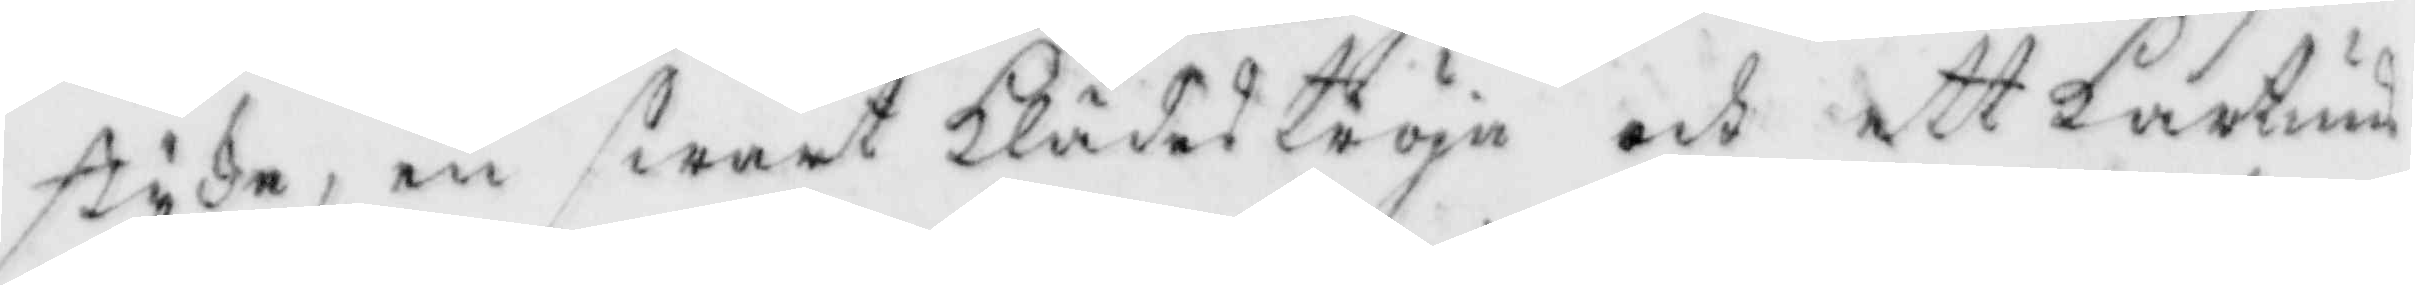stycke, en swart klädeströja och ett kartuns¬
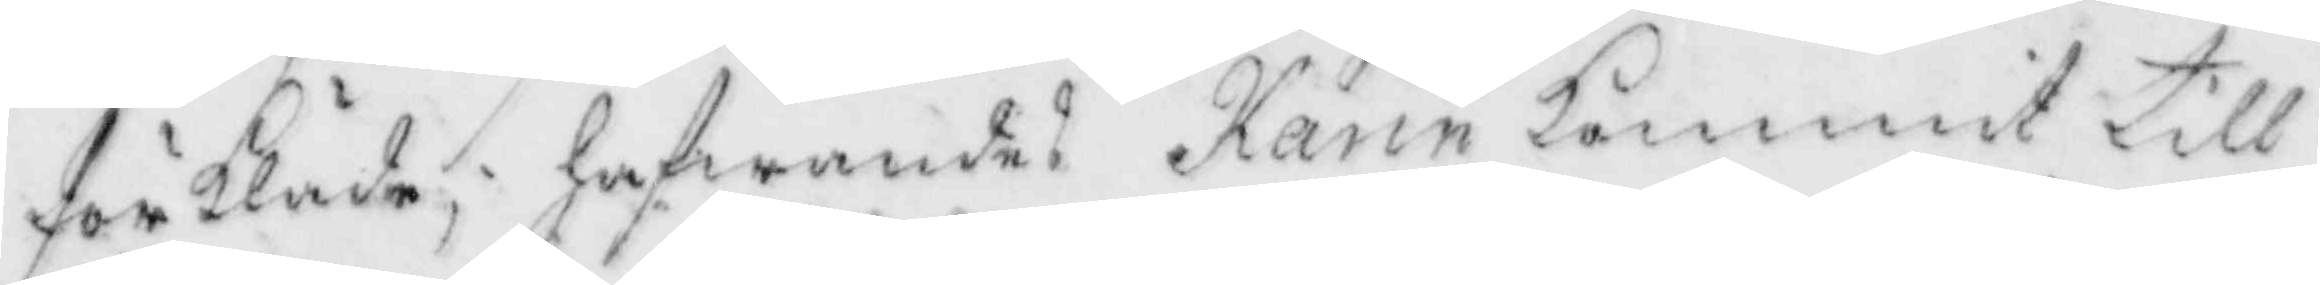förkläde; hafwandes Karin kommit till
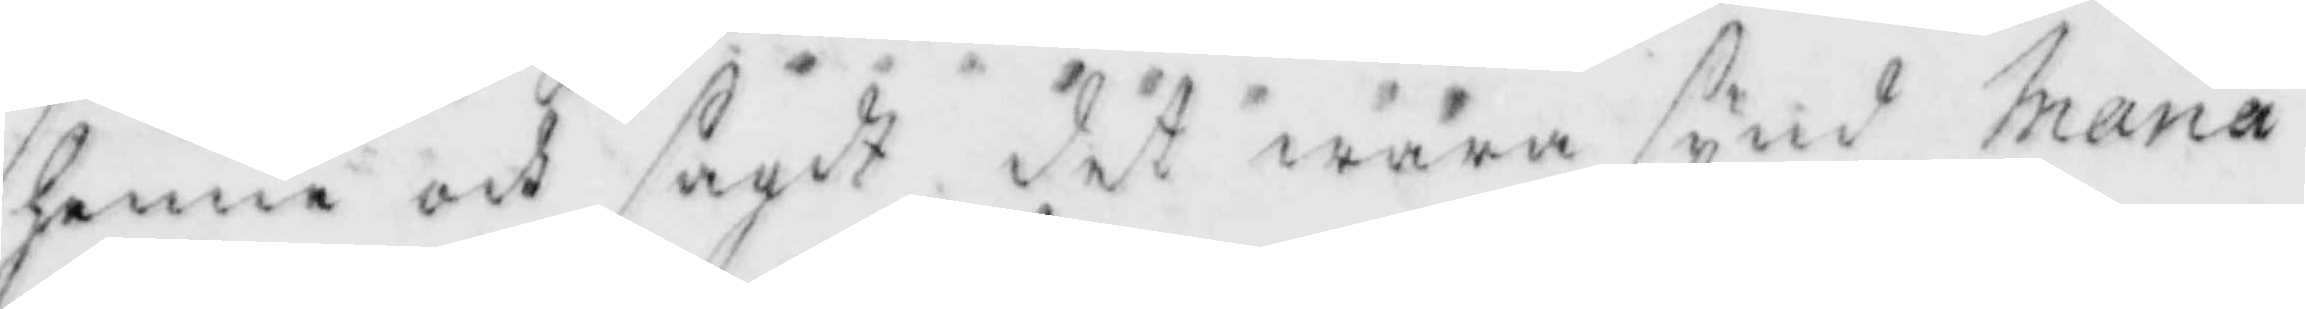henne och sagdt det wara synd Maris
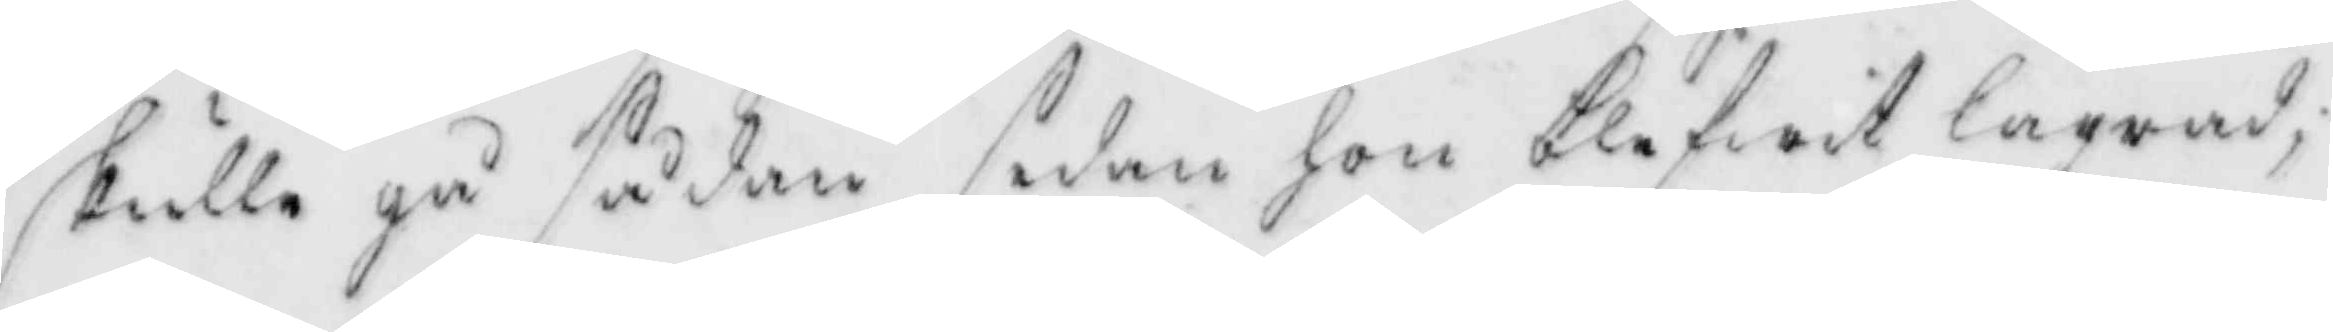skulle gå sådan sedan hon blefwit lägrad,
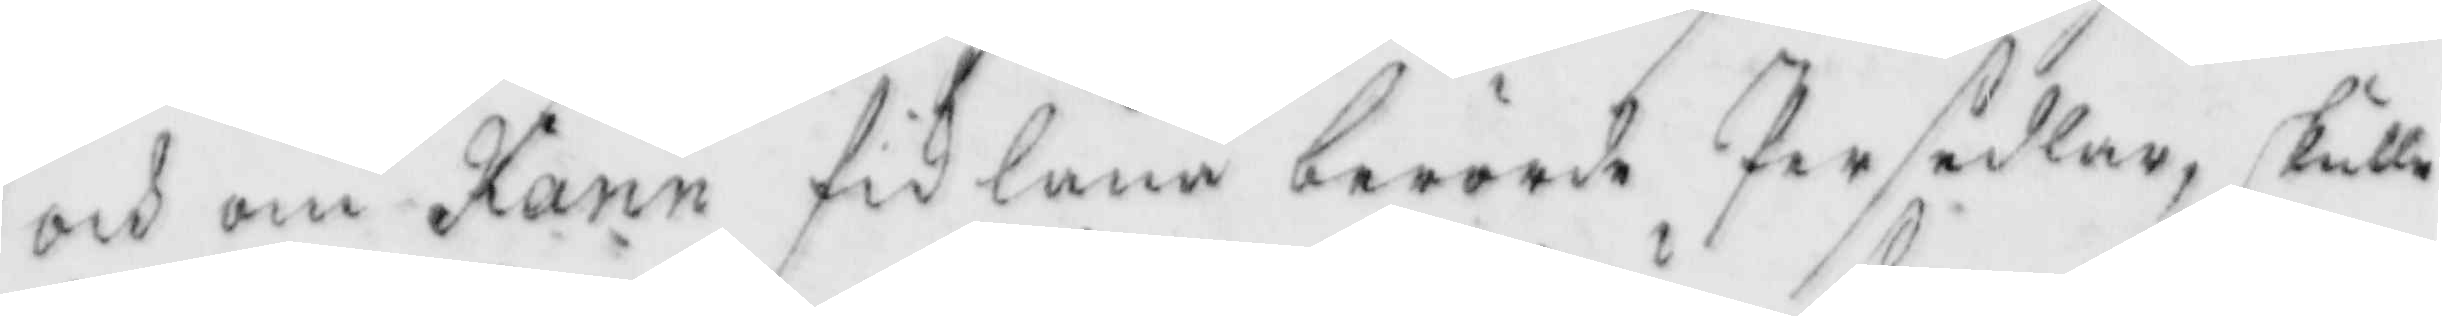och om Karin fik låna berörde Persedlar, skulle
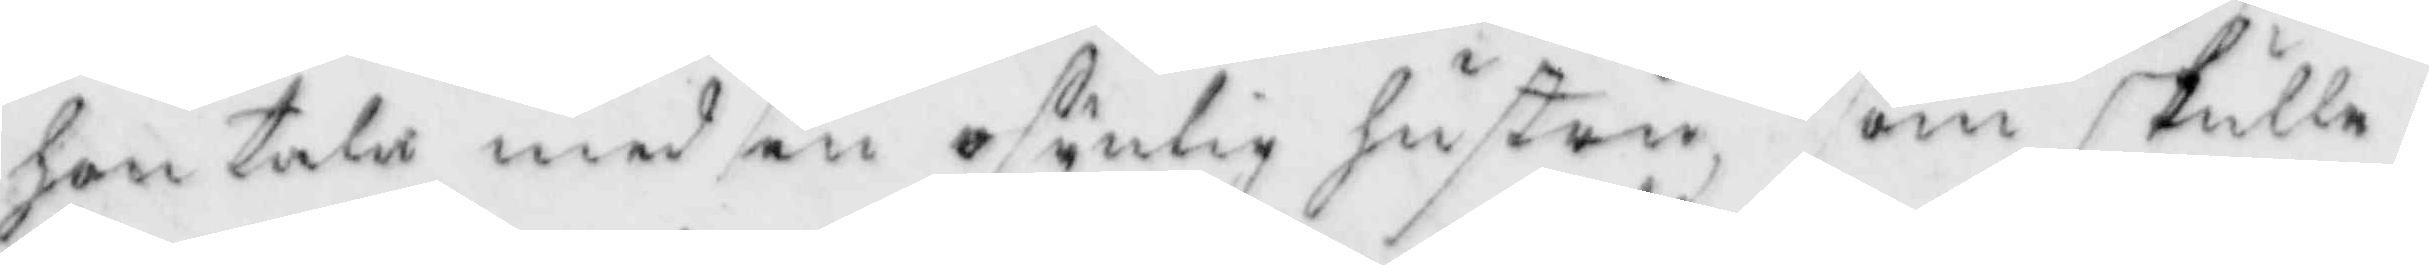hon tala med en osynlig hustru som skulle
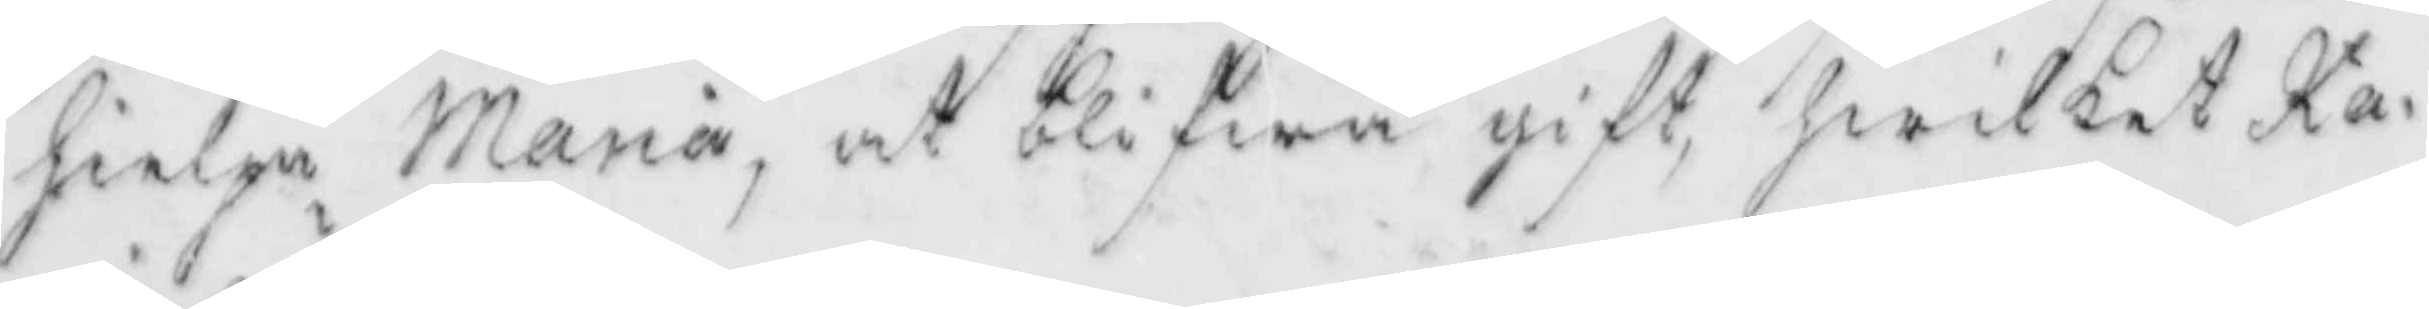hielpa Maria, at blifwa gift, hwilket Ka¬
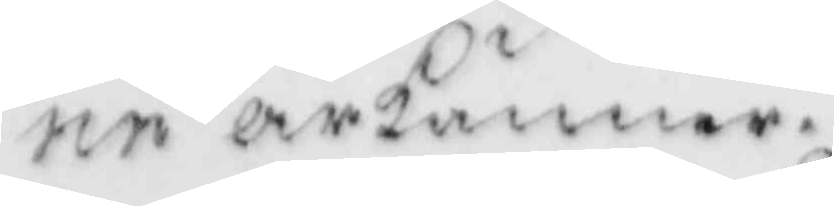rin ärkänner.
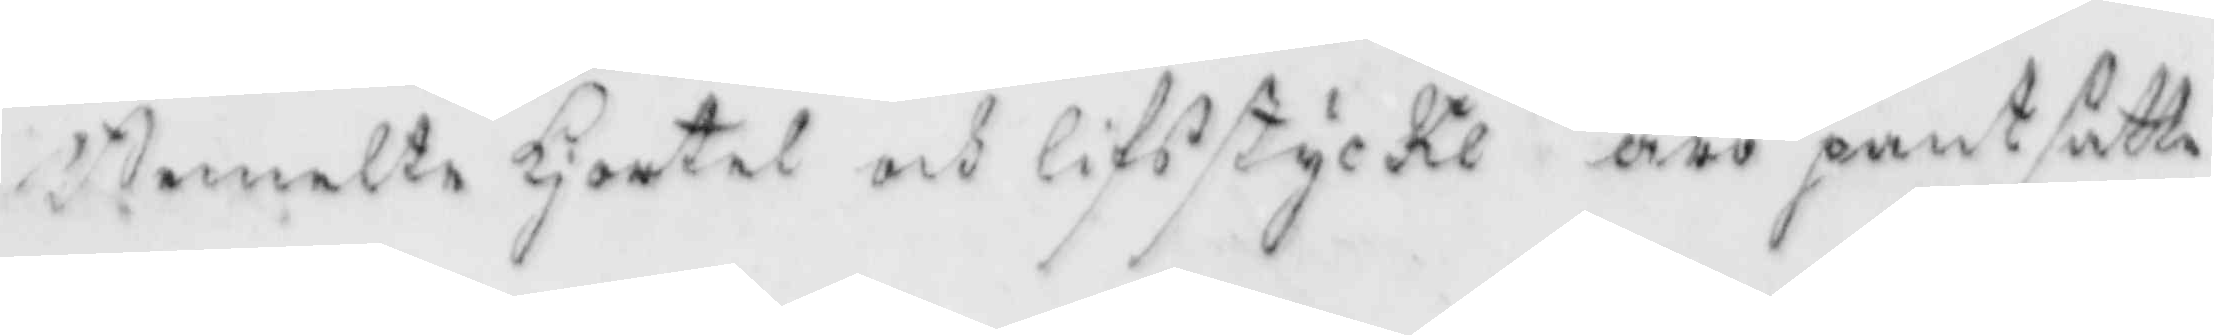Bemelte kjortel och lifsstycken äro pantsatte
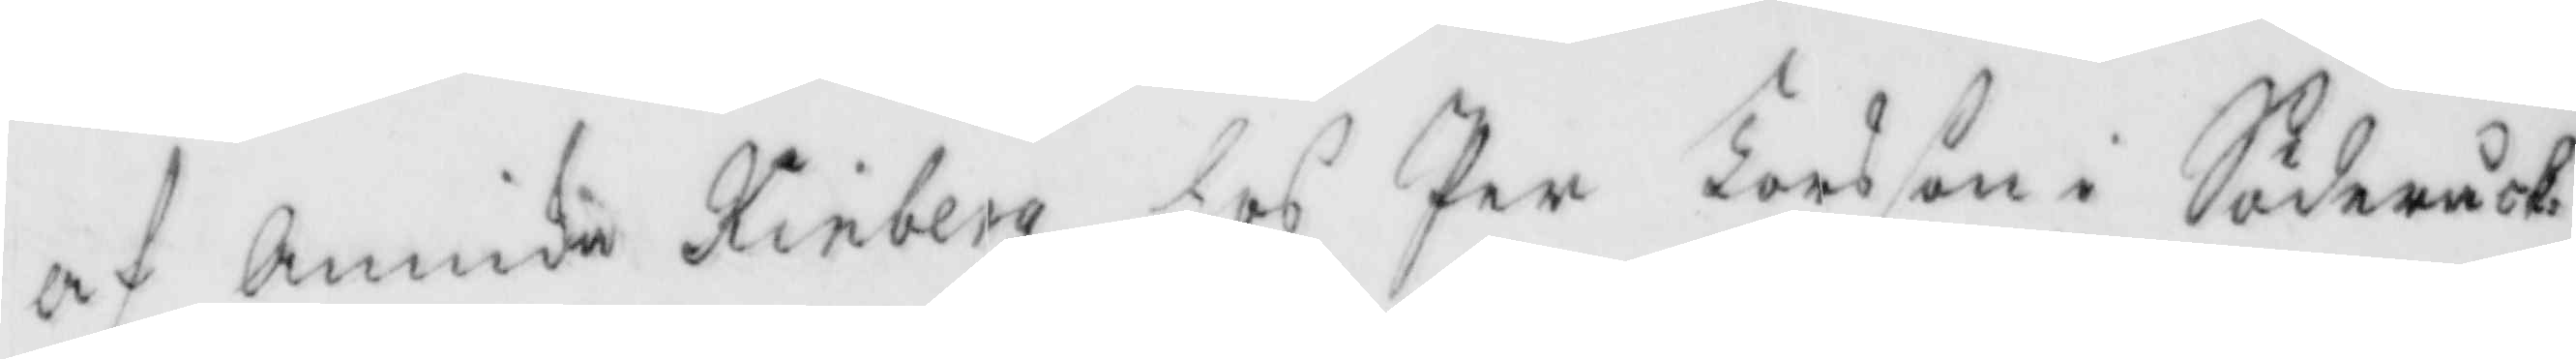af Annika Kinberg hos Per Larsson i Söderåck¬
